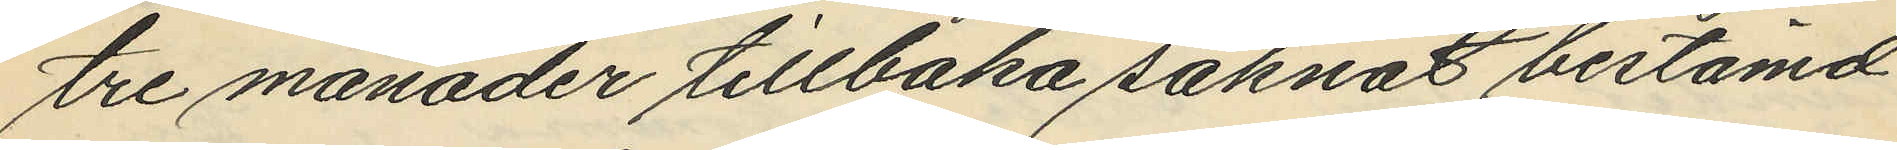tre månader tillbaka saknat bestämd
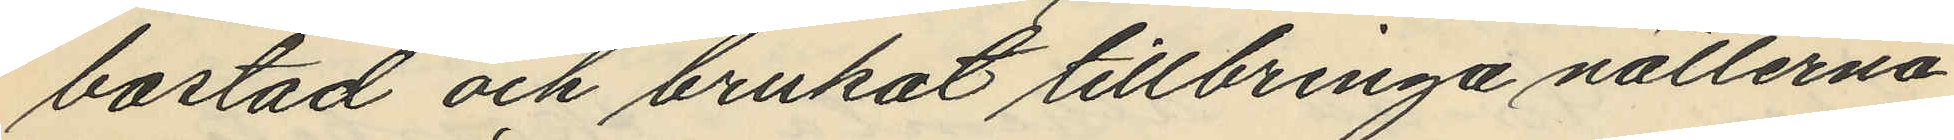bostad och brukat tillbringa nätterna
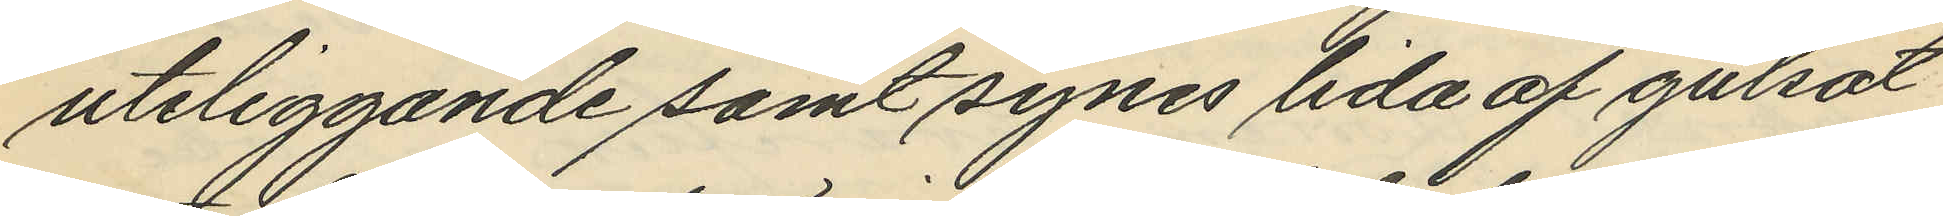uteliggande samt synes lida af gulsot
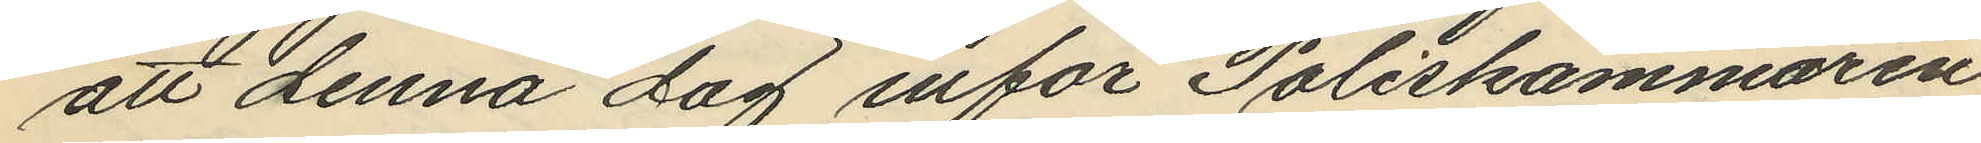att denna dag inför Poliskammaren
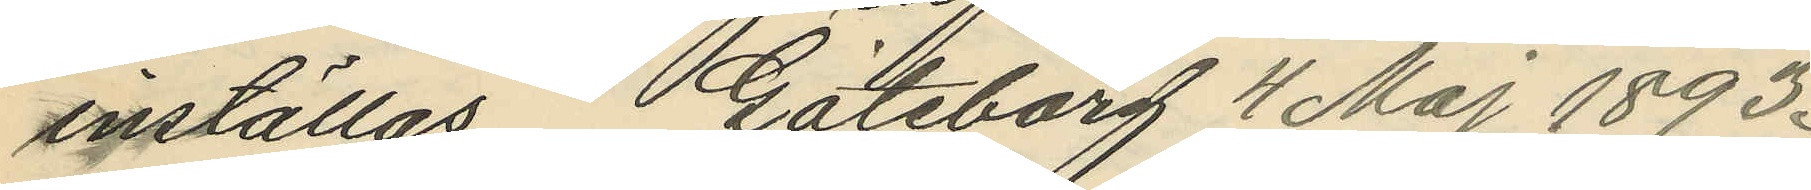inställas. Göteborg 4 Maj 1893.
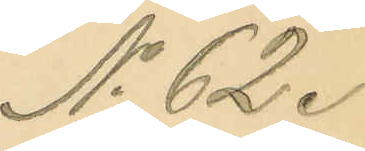No 62.
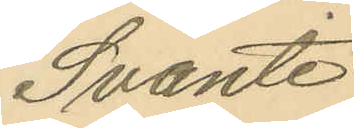Svante
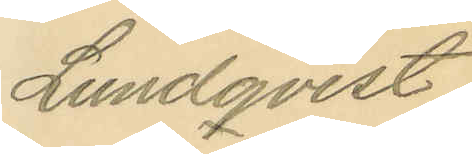Lundqvist.
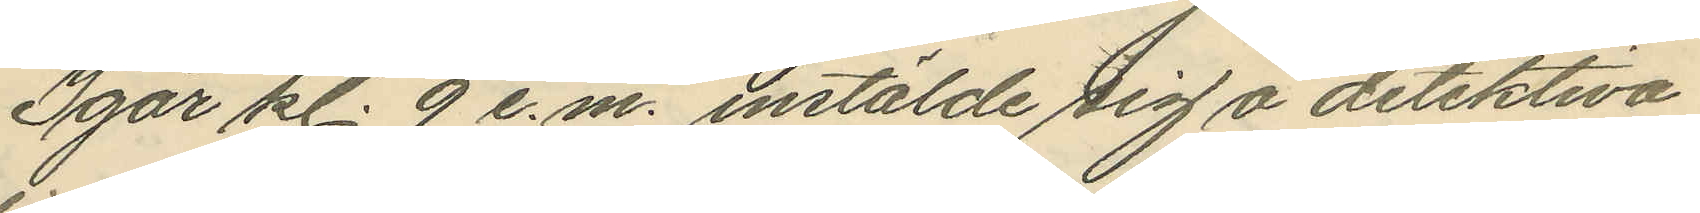Igår kl. 9 e.m. instälde sig å detektiva
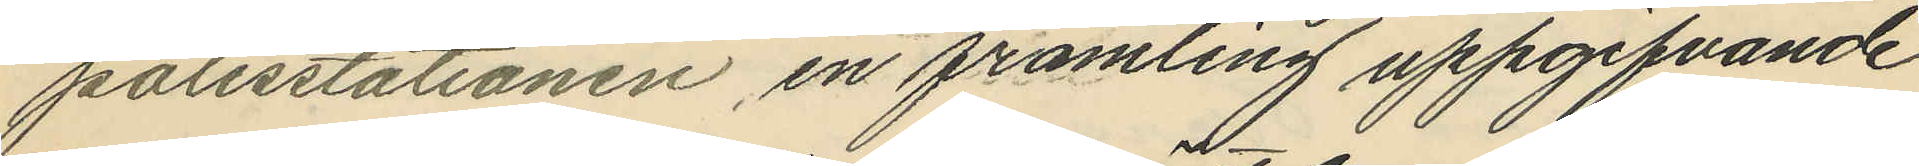polisstationen, en främling uppgifvande
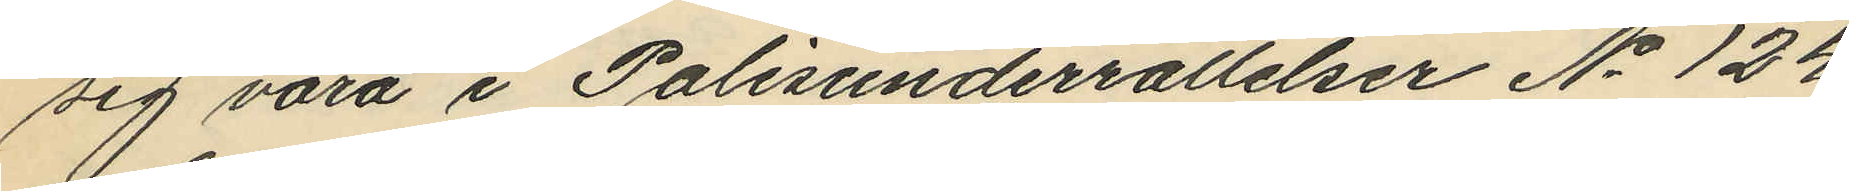sig vara i Polisunderrättelser No 124
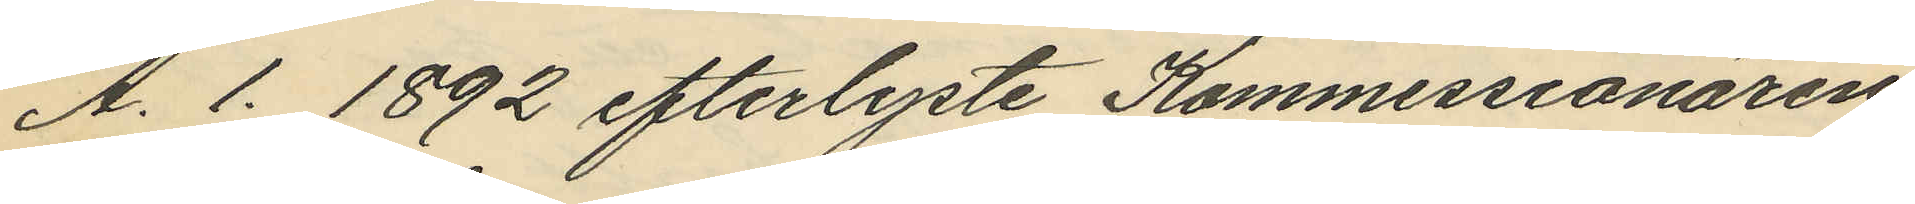A. 1. 1892 efterlyste Kommissionären
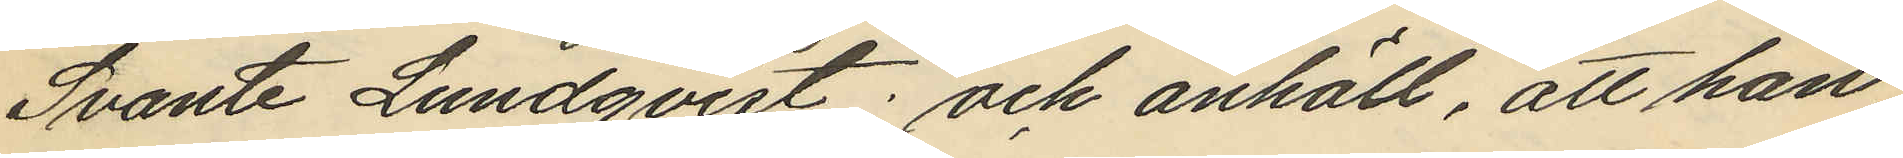Svante Lundqvist; och anhöll, att han
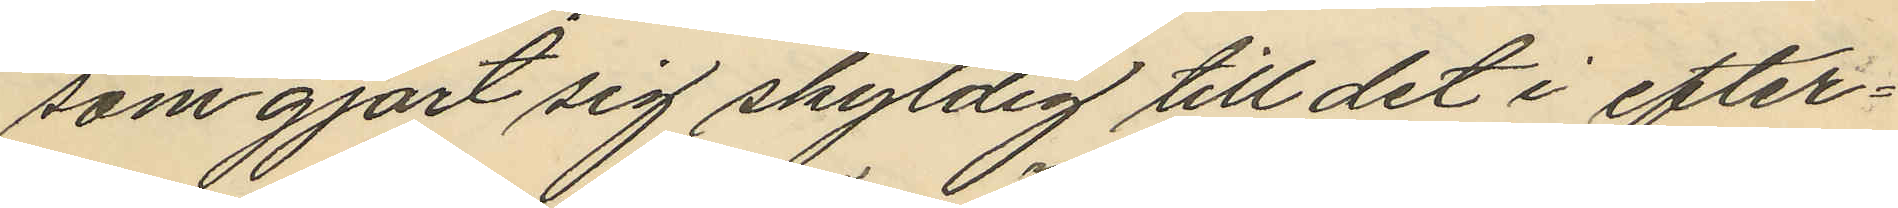som gjort sig skyldig till det i efter¬
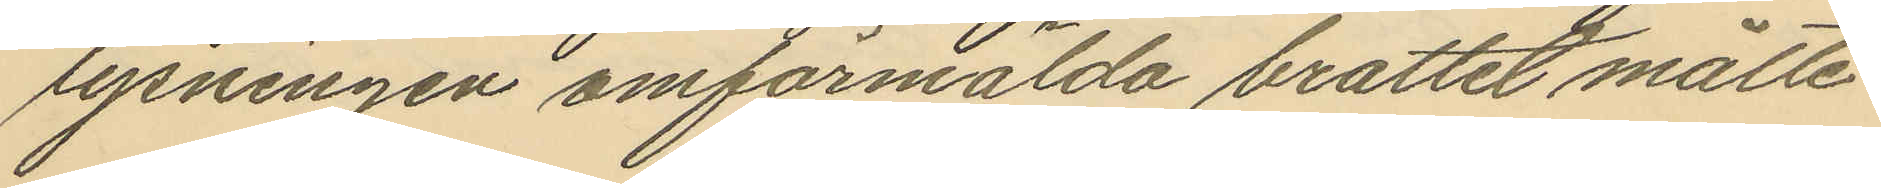lysningen omförmälda brottet måtte
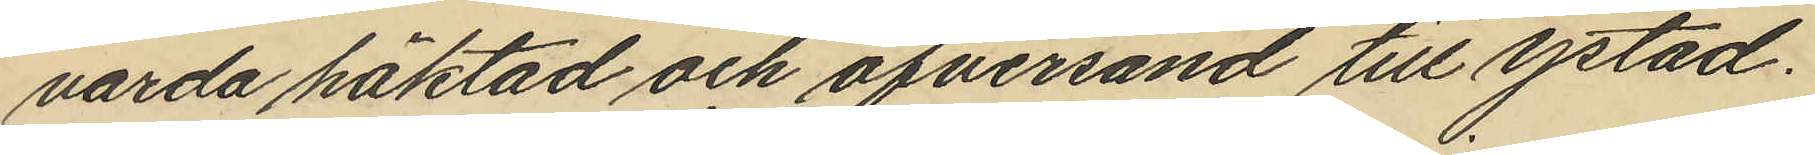varda häktad och öfversänd till ystad.
